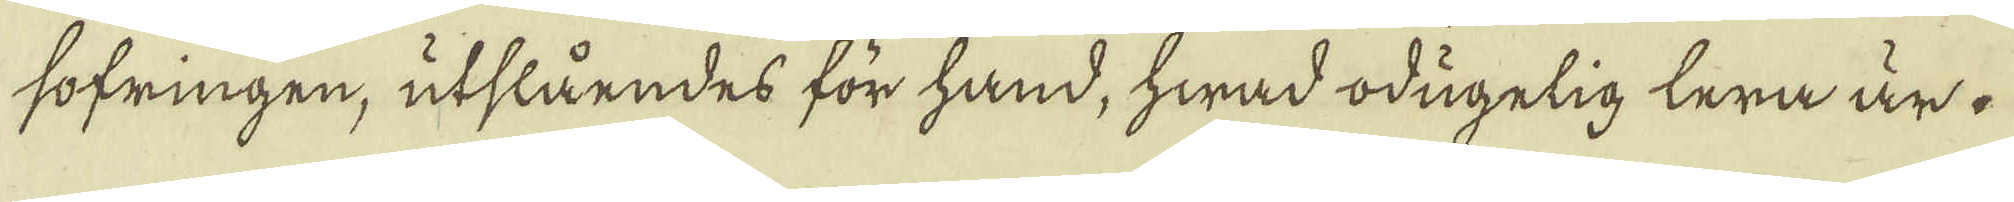sofringen, utslåendes för hand, hwad odugelig lera är.
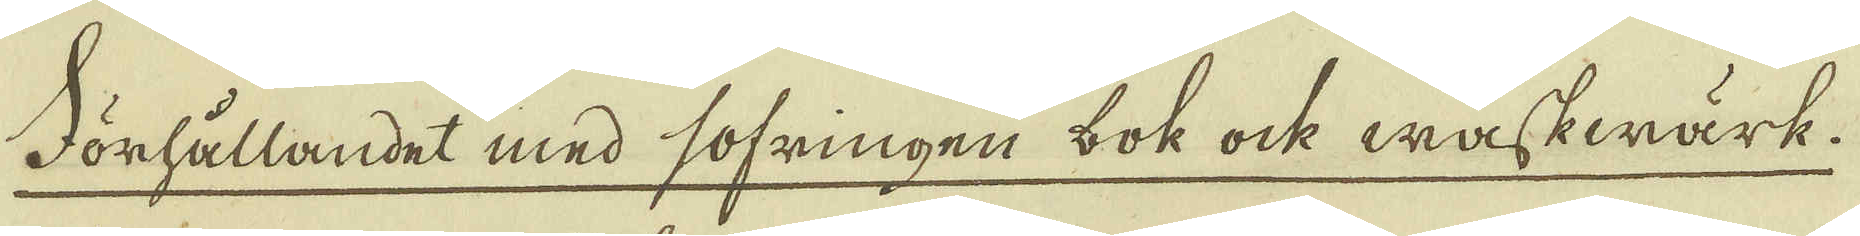Förhållandet med sofringen bok ock waskwärk.
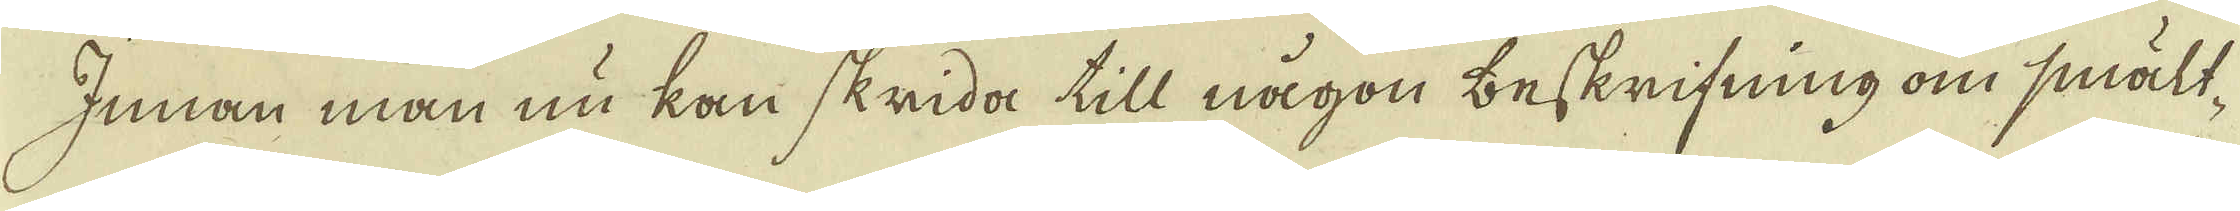Innan man nu kan skrida till någon beskrifning om smält-
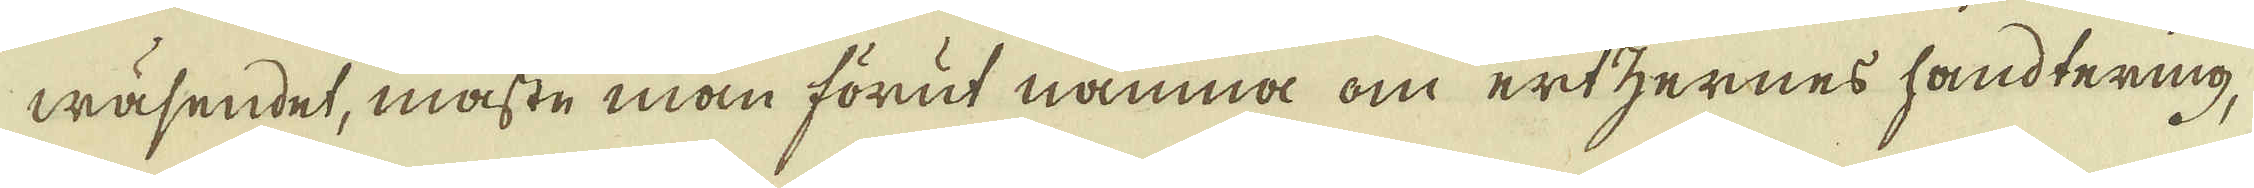wäsendet, måste man förut nämna om ertzernes handtering,
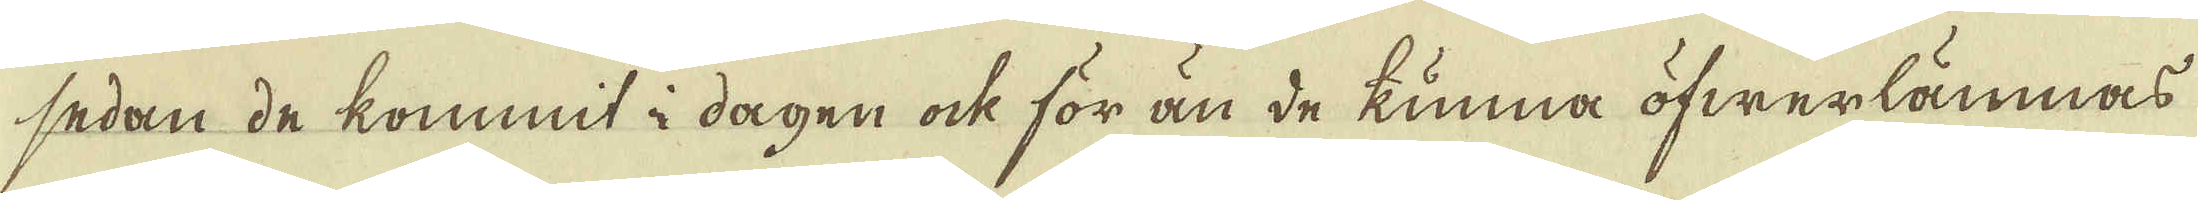sedan de kommit i dagen ock för än de kunna öfwerlämnas
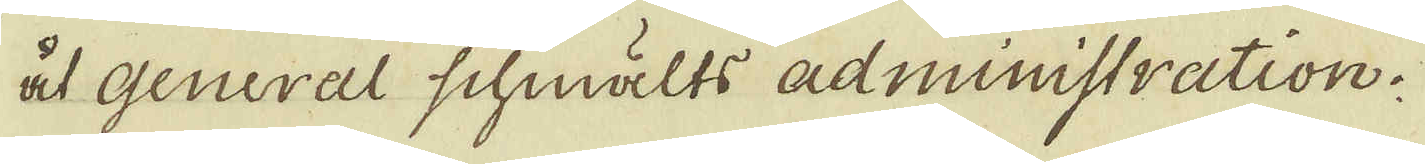åt General schmälts administration.
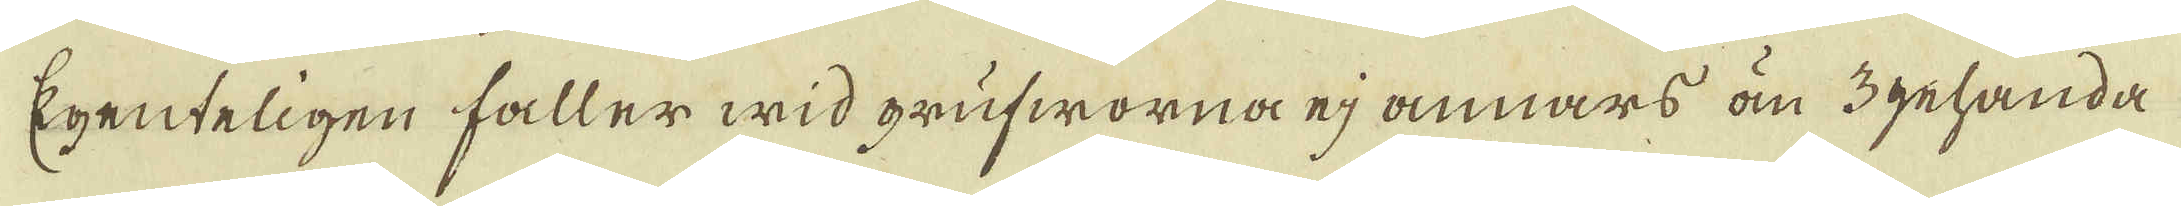Egenteligen faller wid grufworna ej annars än 3 gehanda
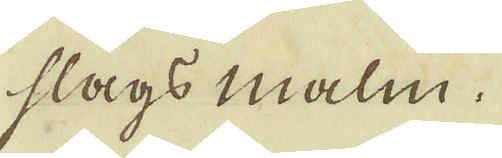slags malm.
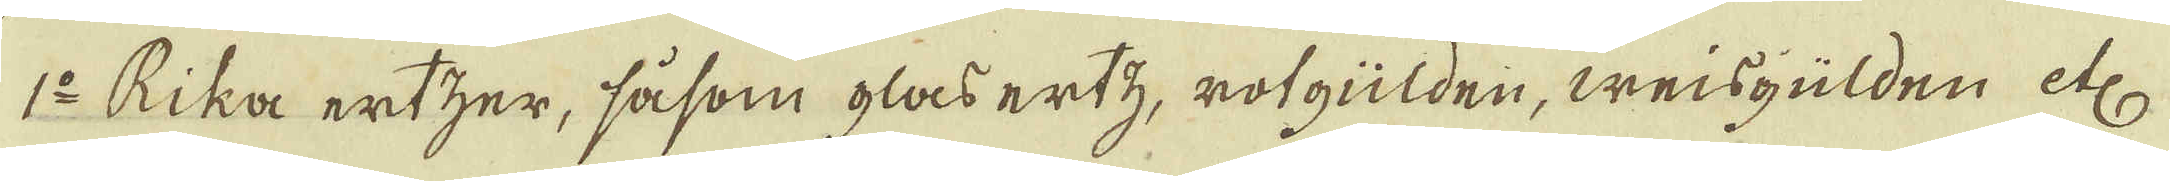1:o Rika ertzer, såsom glas ertz, rotgülden, weisgülden etc
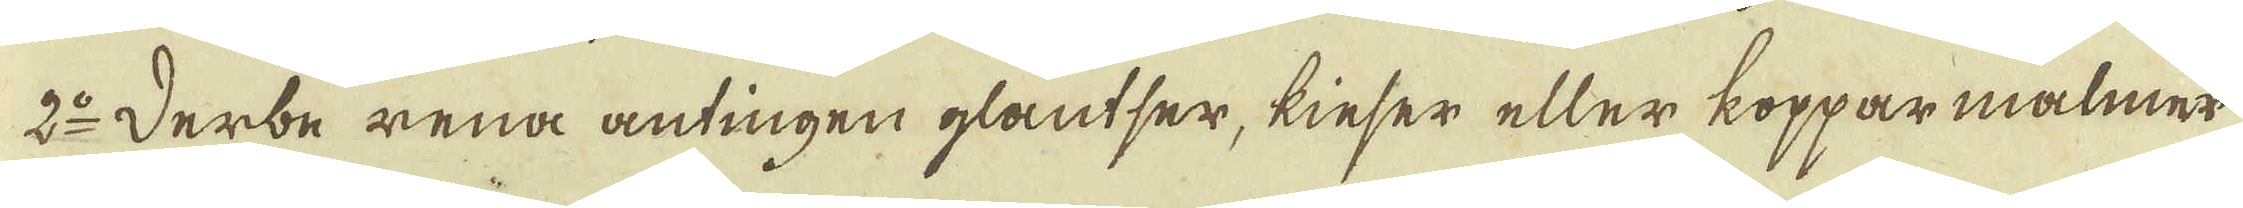2:o Derbe rena antingen glantser, kieser eller kopparmalmer
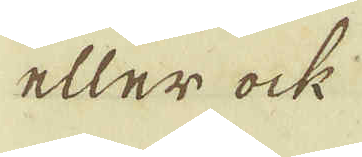eller ock
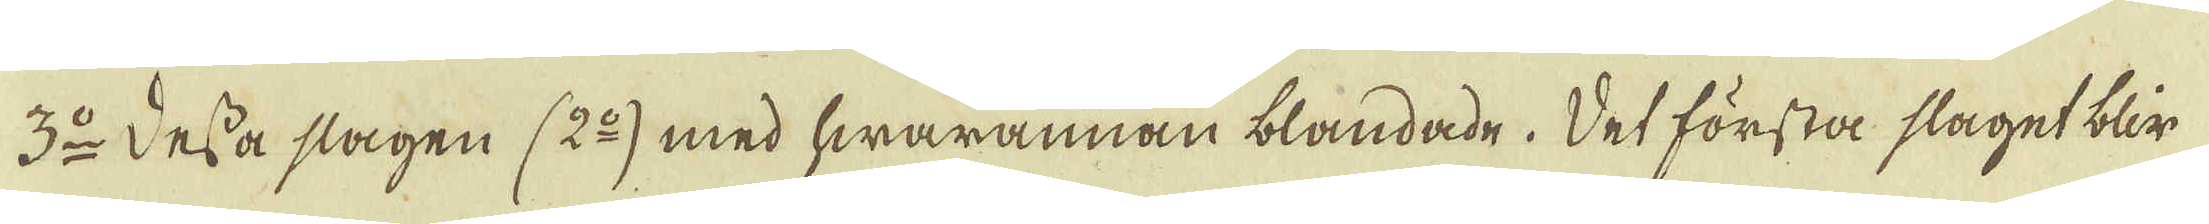3:o Dessa slagen (2:o) med hwarannan blandade. Det första slaget blir
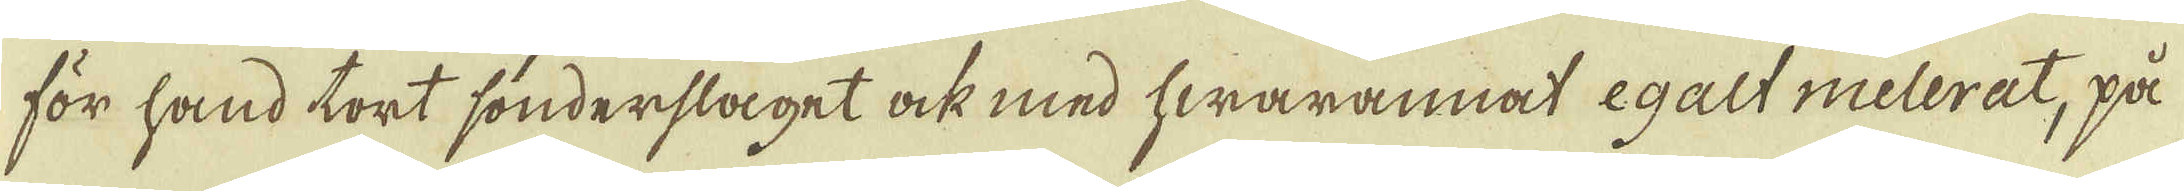för hand tort sönderslaget ock med hwarannat egalt melerat, på
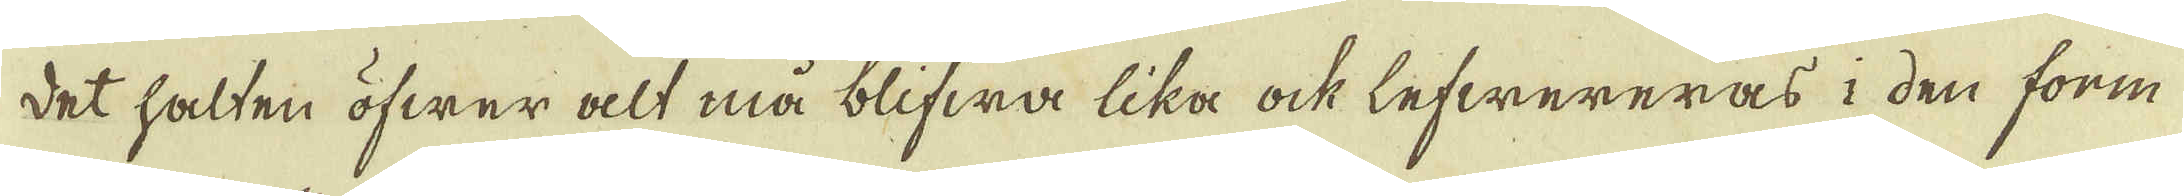det halten öfwer alt må blifwa lika ock lefwereras i den form
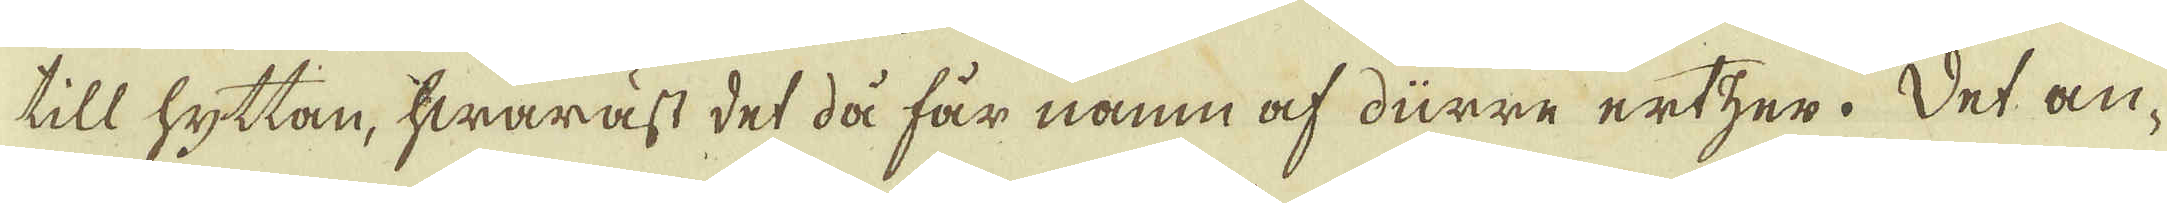till hyttan, hwaräst det då får namn af dürre ertzer. Det an-
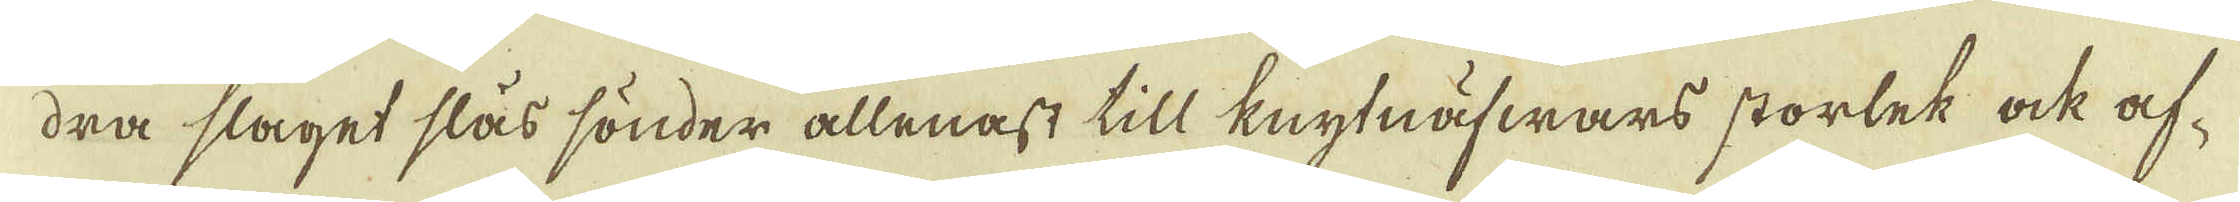dra slaget slås sönder allenast till knytnäfwars storlek ock af-
